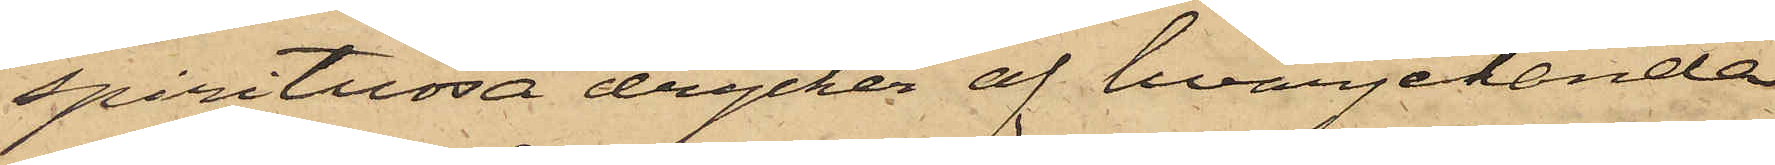spirituösa drycker af hvarjehanda
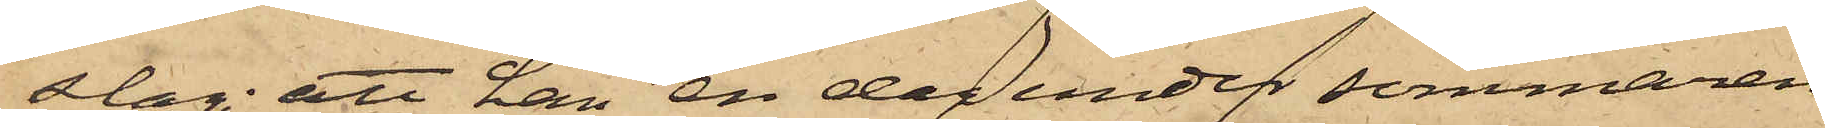slag; att han en dag under sommaren
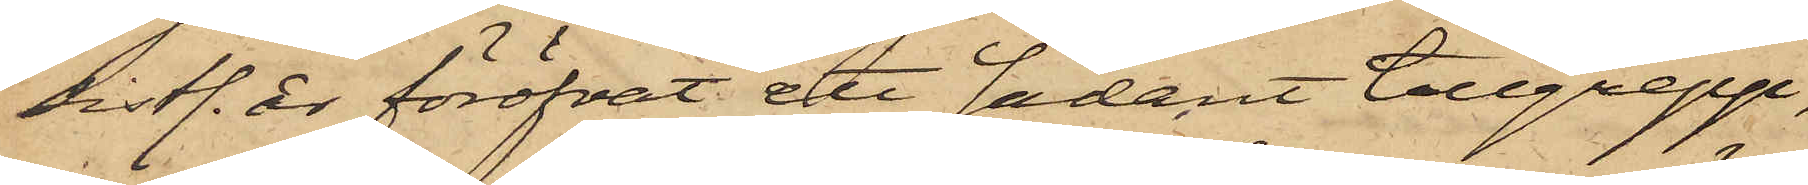sistl. år föröfvat ett sådant tillgrepp,
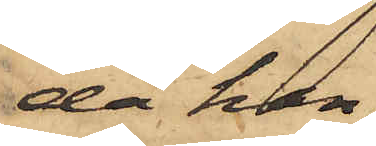då han,
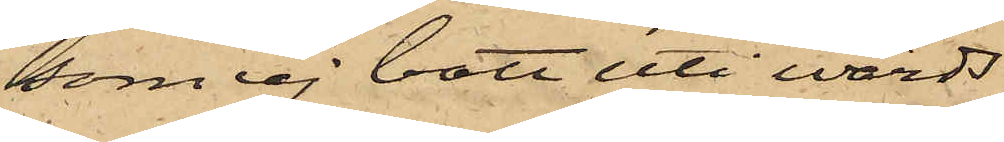som ej bott uti wärds¬
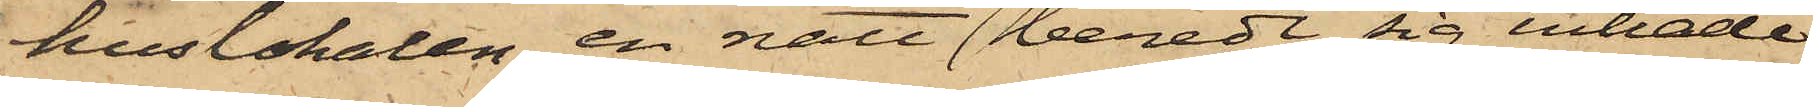huslokalen, en natt beredt sig inträde
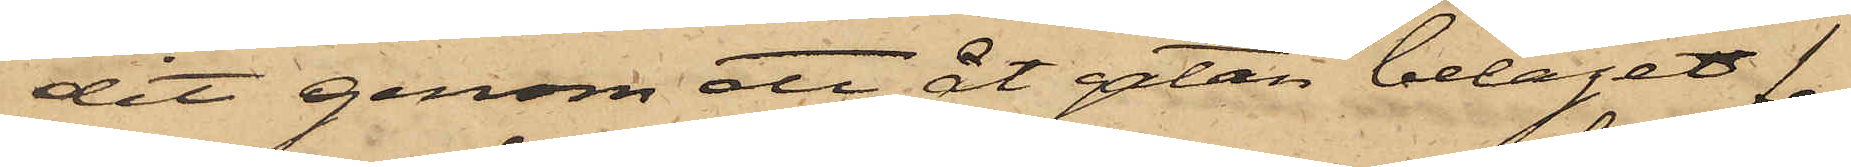dit genom ett åt gatan beläget fen¬
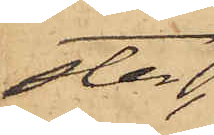ster,
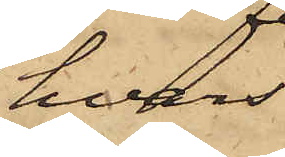hvars
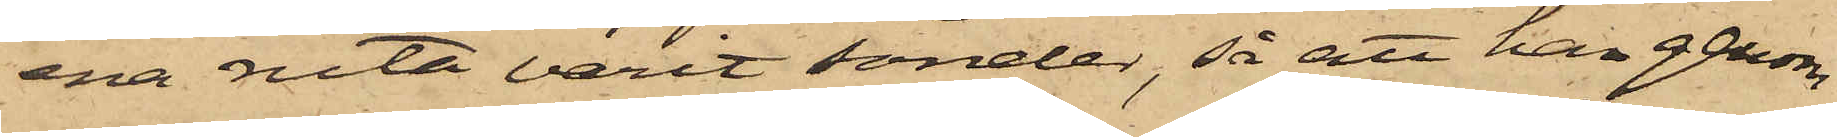ena ruta varit sönder, så att han genom
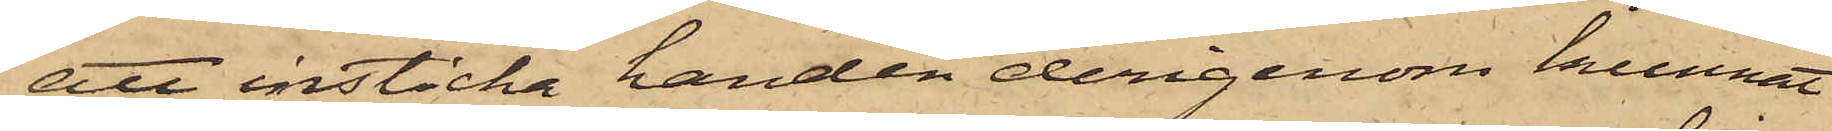att insticka handen derigenom kunnat
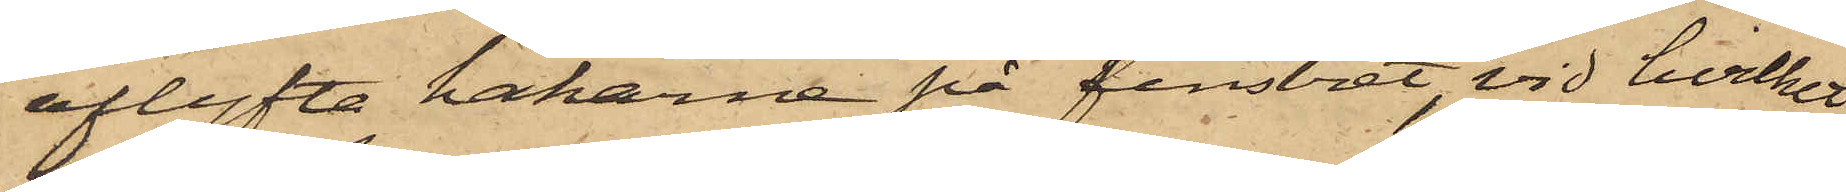aflyfta hakarne på fenstret, vid hvilket
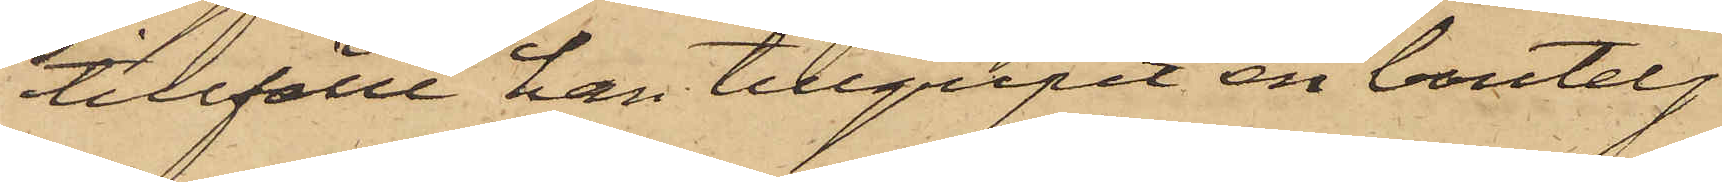tillfälle han tillgripit en boutelj
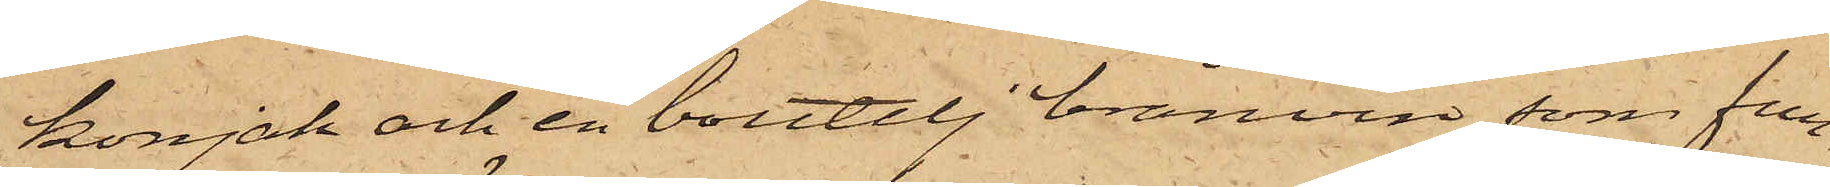konjak och en boutelj bränvin, som fun¬
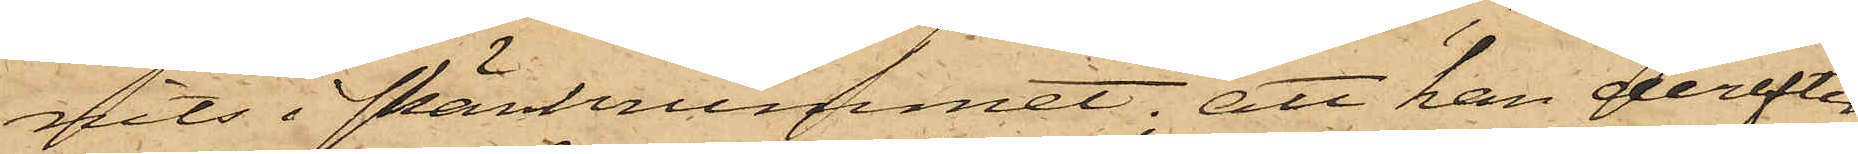nits i skänkrummet; att han derefter
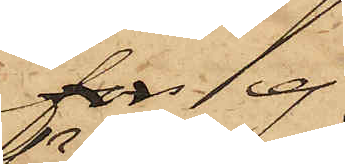for ej
